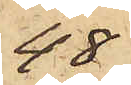48
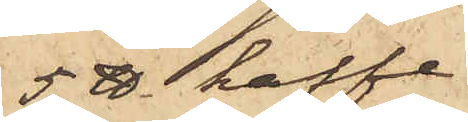5 ℔ kaffe
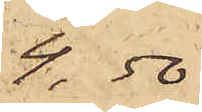4,50
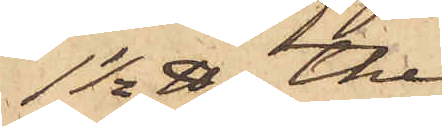1½ ℔ the
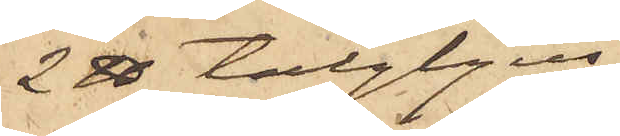2 ℔ talgljus
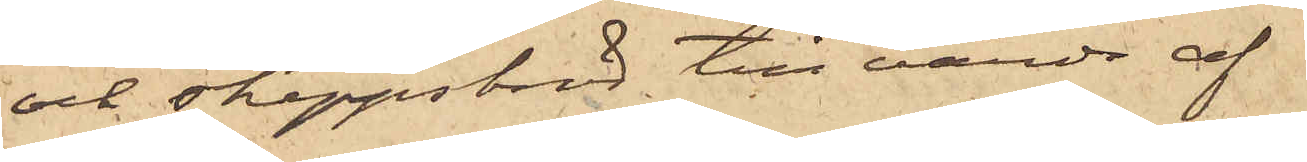och skeppsbröd till värde af
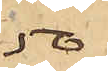50
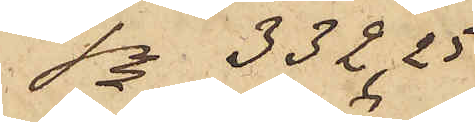S:a 332,25
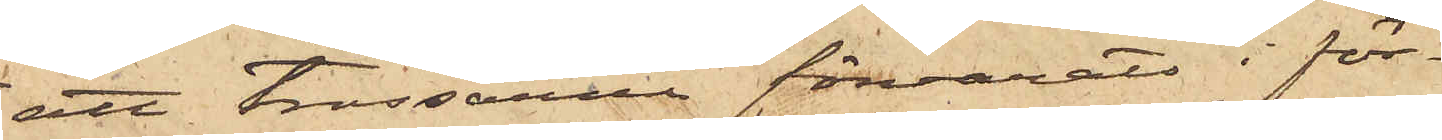att trossarna förvarats i för¬
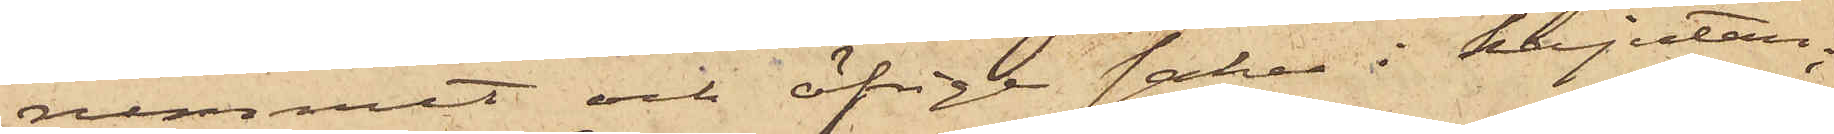rummet och öfrige saker i kajutan;
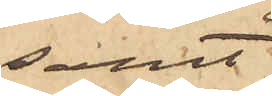samt
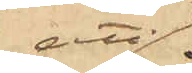att
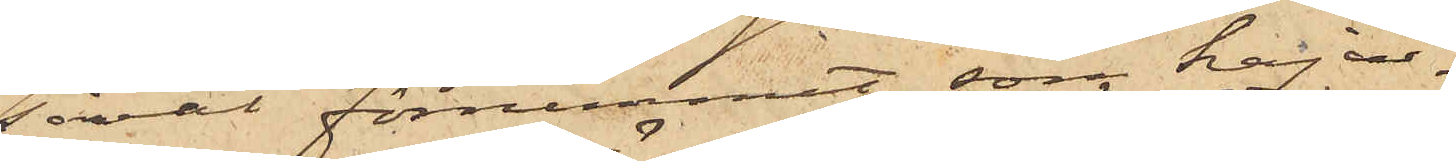såväl förrummet som kaju¬
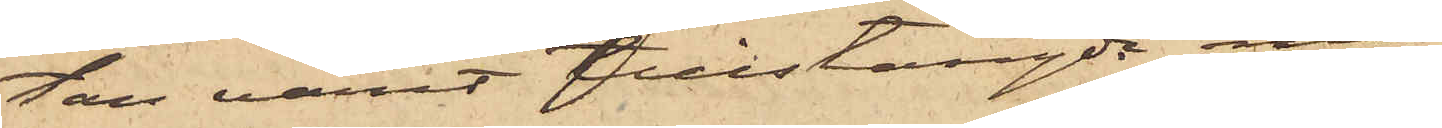tan varit tillstängde med
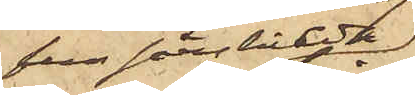fem särskilde
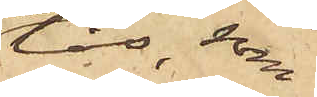lås, som
